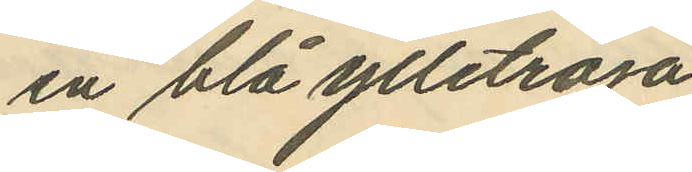en blå ylletröja
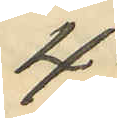4:
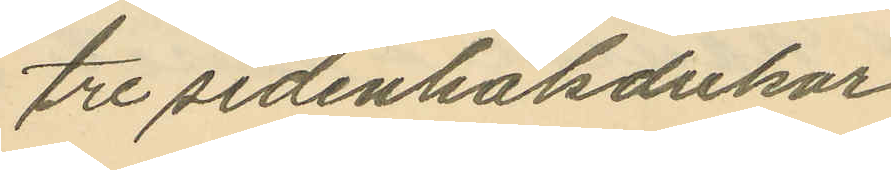tre sidenhalsdukar
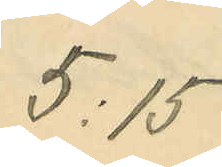5:15
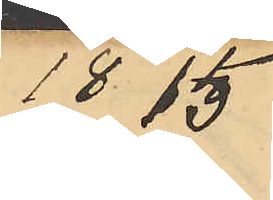18 15
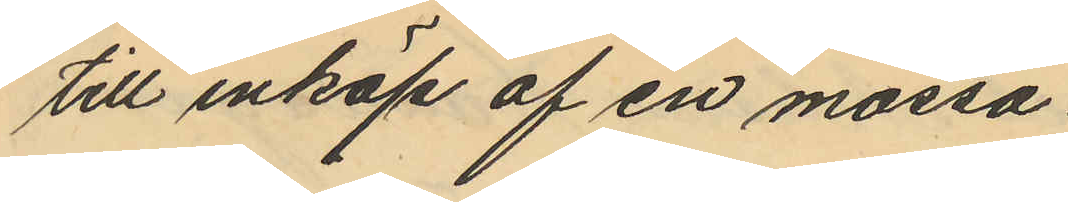till inköp af en mössa
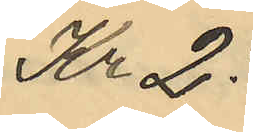Kr 2:
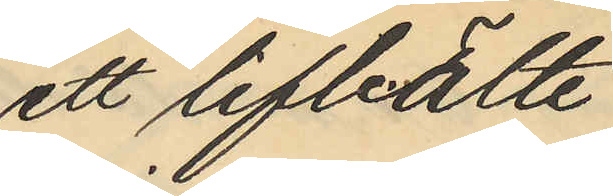ett lifbälte
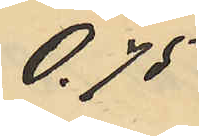0.75
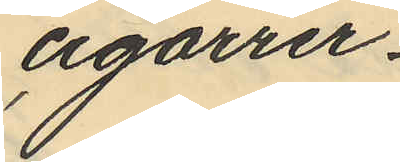cigarrer
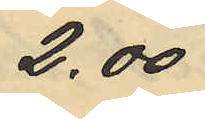2.00
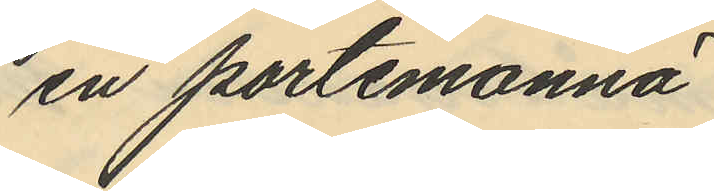en portemonnä
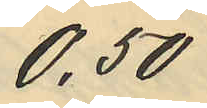0.50
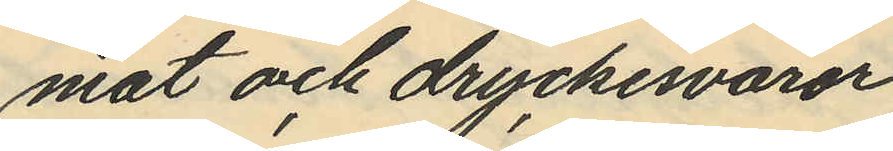mat och dryckesvaror
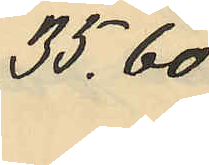35.60
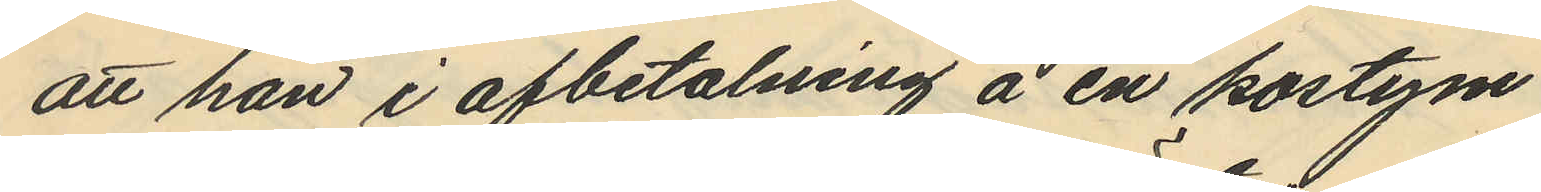att han i afbetalning å en kostym
